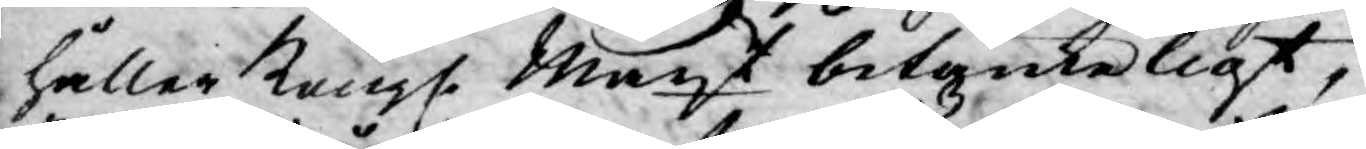håller Kongl. Mayt betänkeligt,
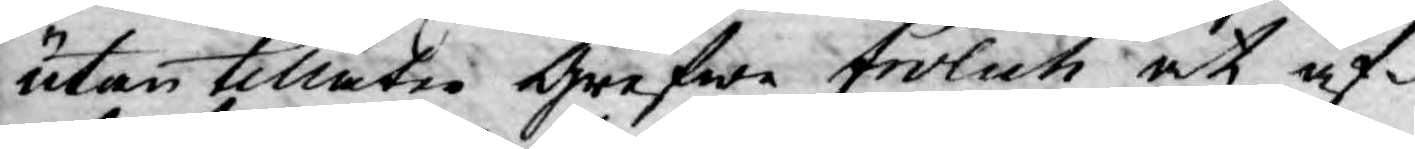utan tillåter Grefwe Frölich at af¬
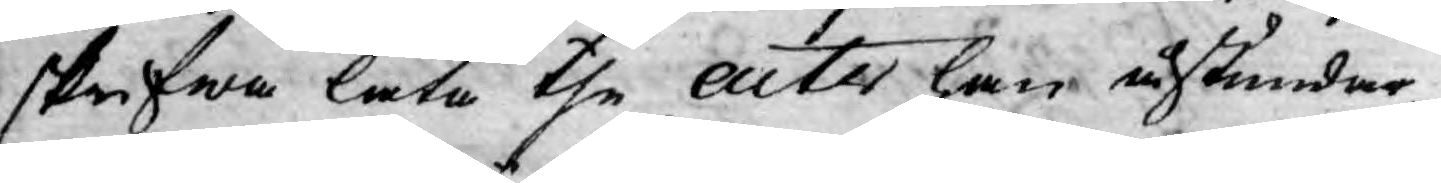skrifwa låta the acter han åstundar.
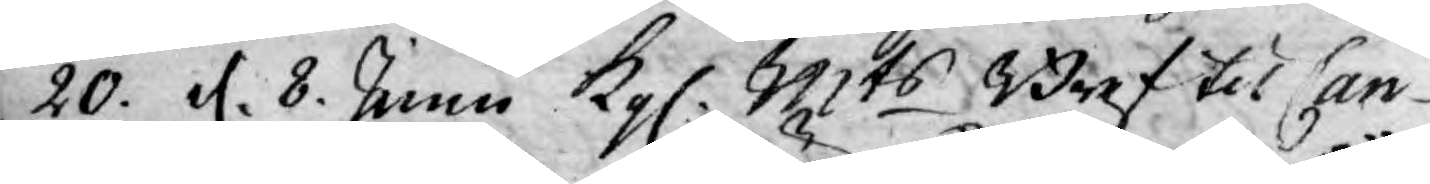20. d. 8. Junii Kgl. Mts Bref til Can¬
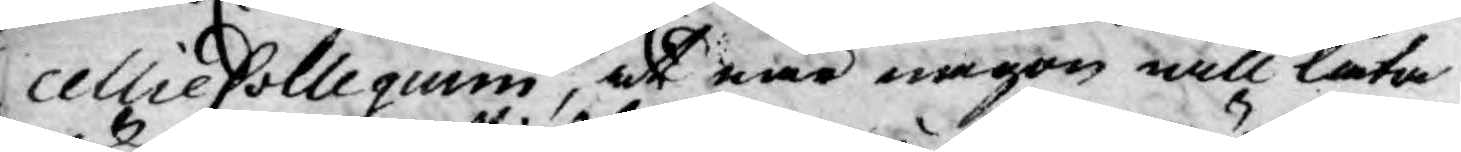cellie Collegium, at när någon will låta
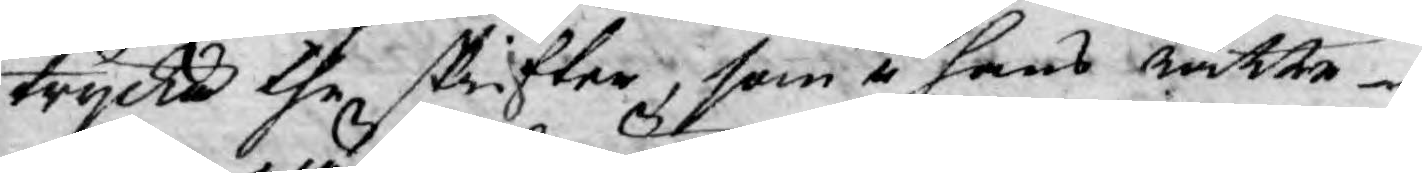trycka the skrifter, som i hans Rätte¬
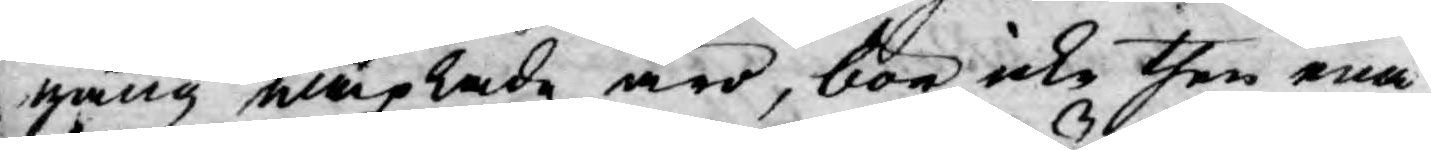gång wäxlade äro, bör icke then ena
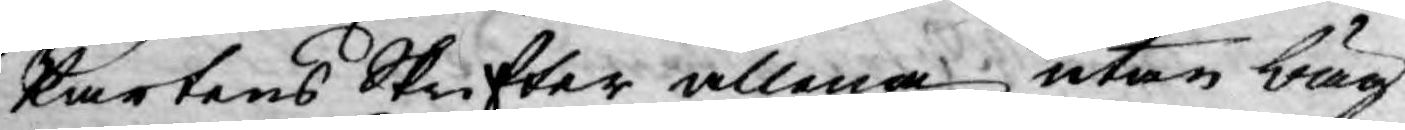Partens Skrifter allena utan bäg¬
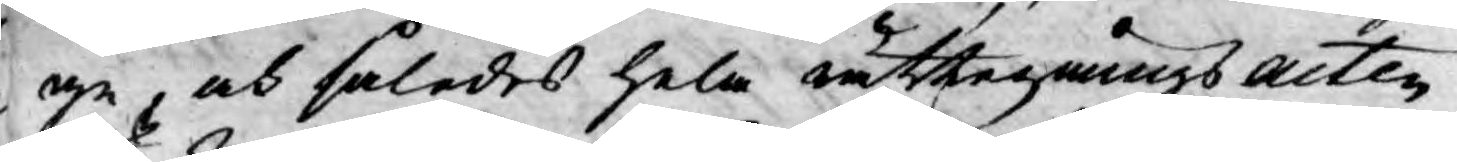ge, och således hela rättegångs acten
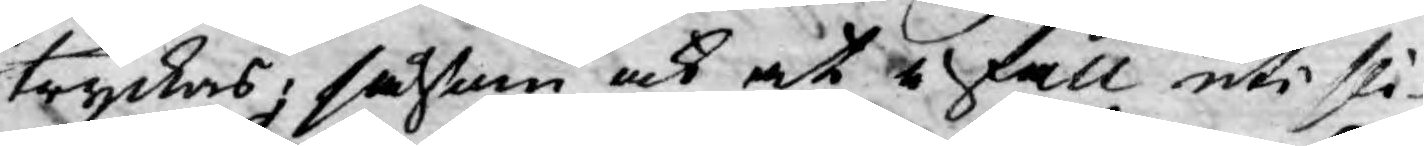tryckas, såsom och at i fall uti sli¬
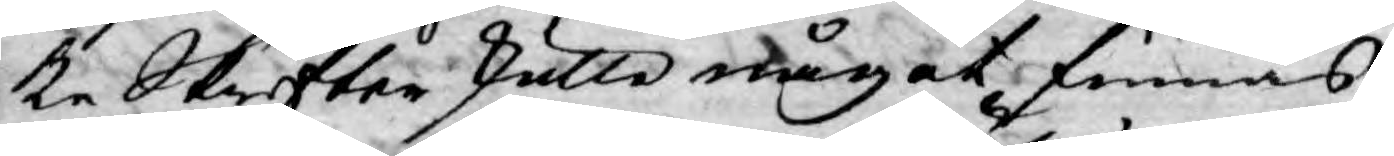ke Skrifter skulle något finnas
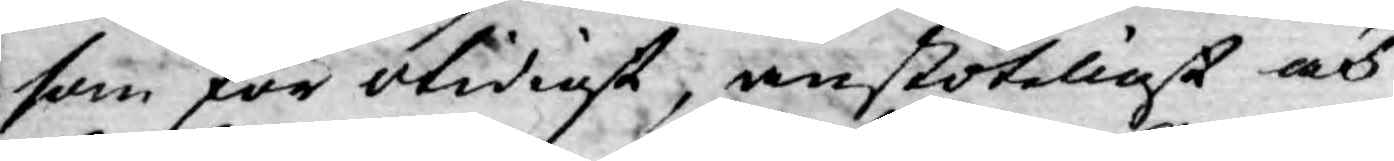som för otidigt, anstöteligt och
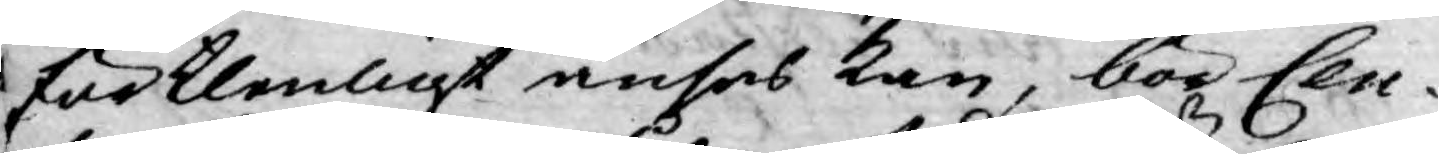förklenligt anses kan, bör Cen¬
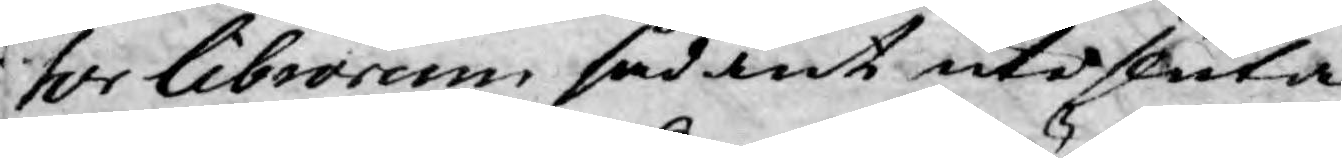sor Librorum sådant utesluta.
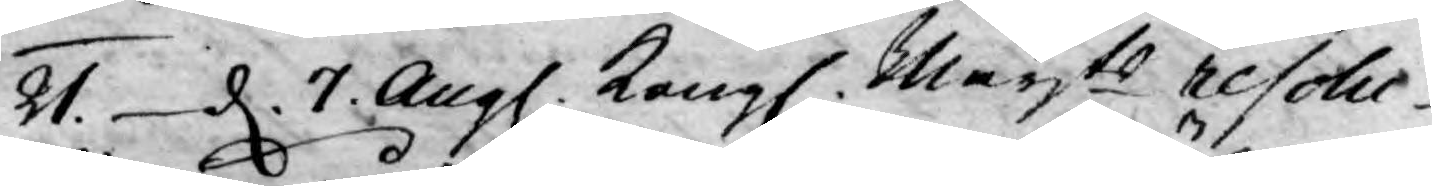21. d. 7 Aug. Kongl. Mayts resolu¬
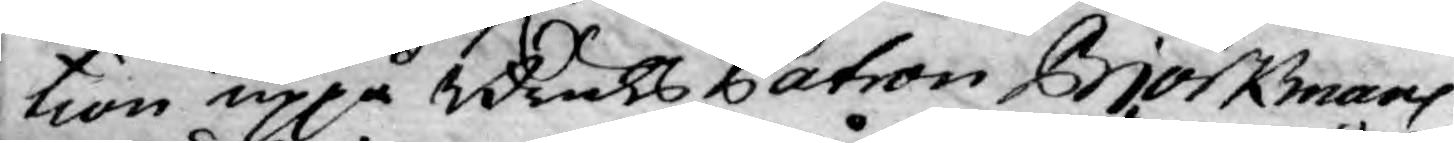tion uppå Bruks Patron Björkmans
